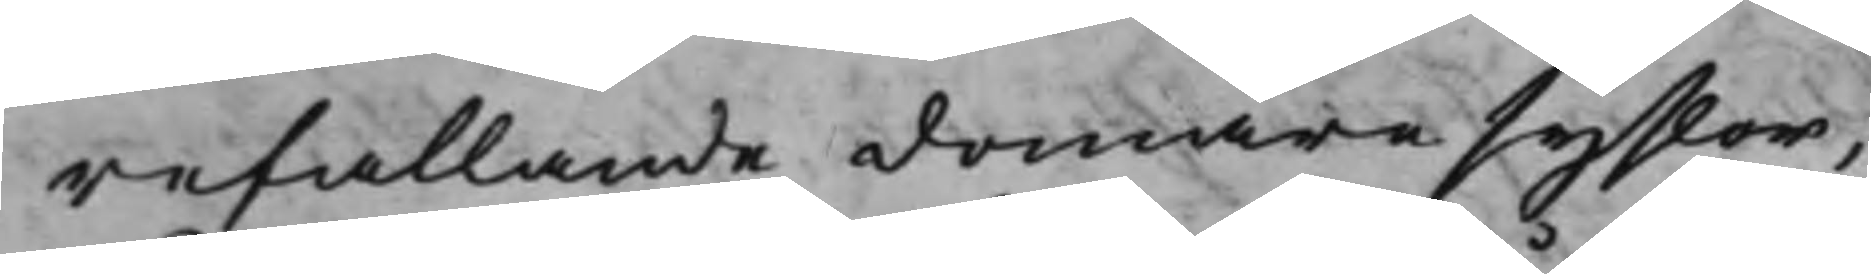refallande domare syslor,
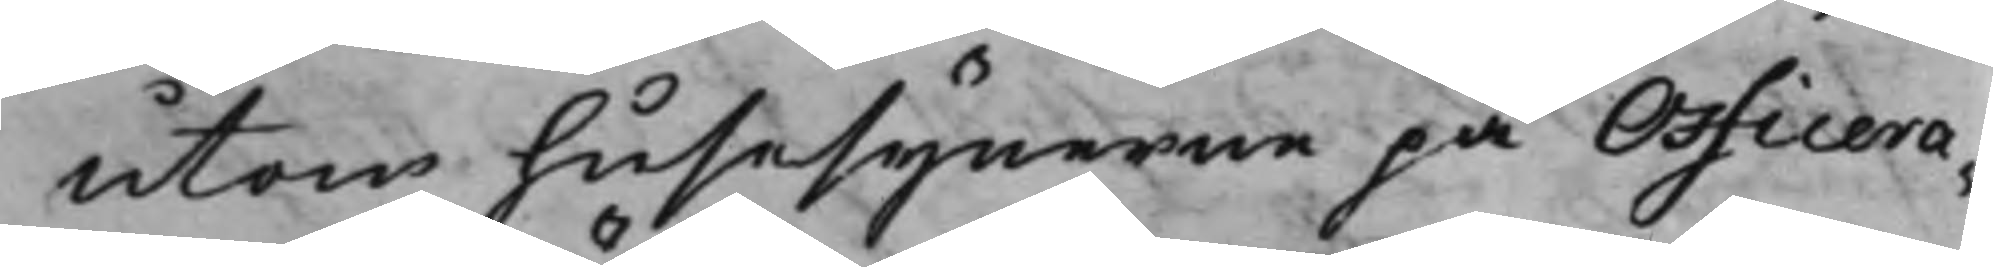utom husesynerne på Officera¬
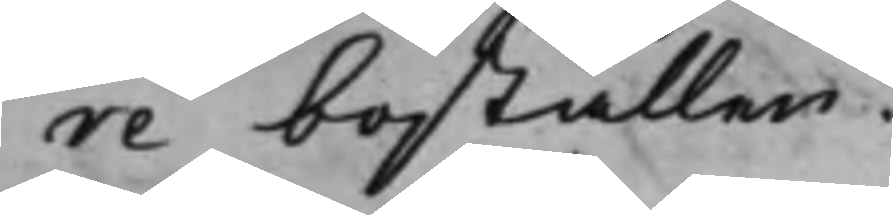reboställen.
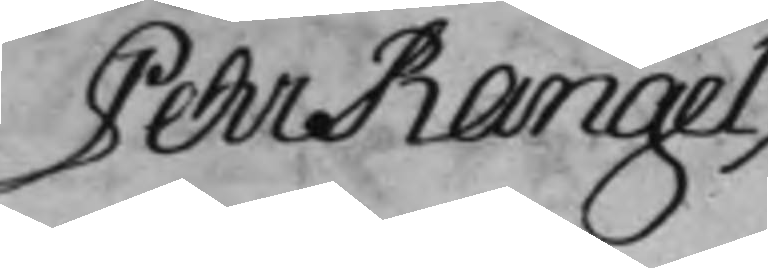Pehr Rangel ./.
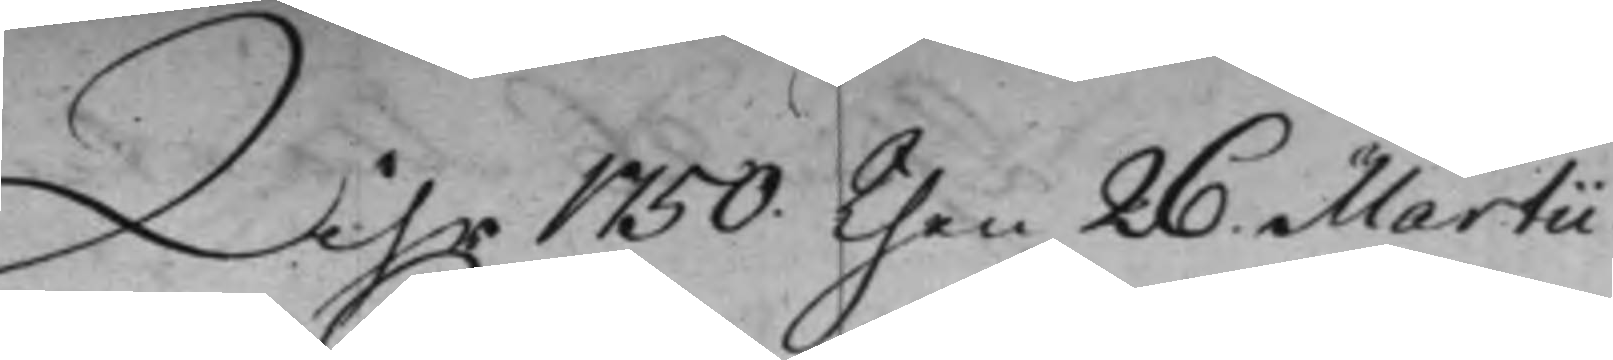Åhr 1750 then 26 Martii
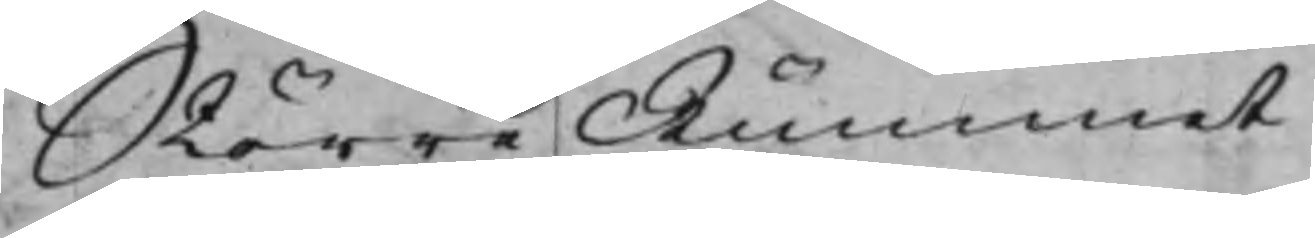Större Rummet
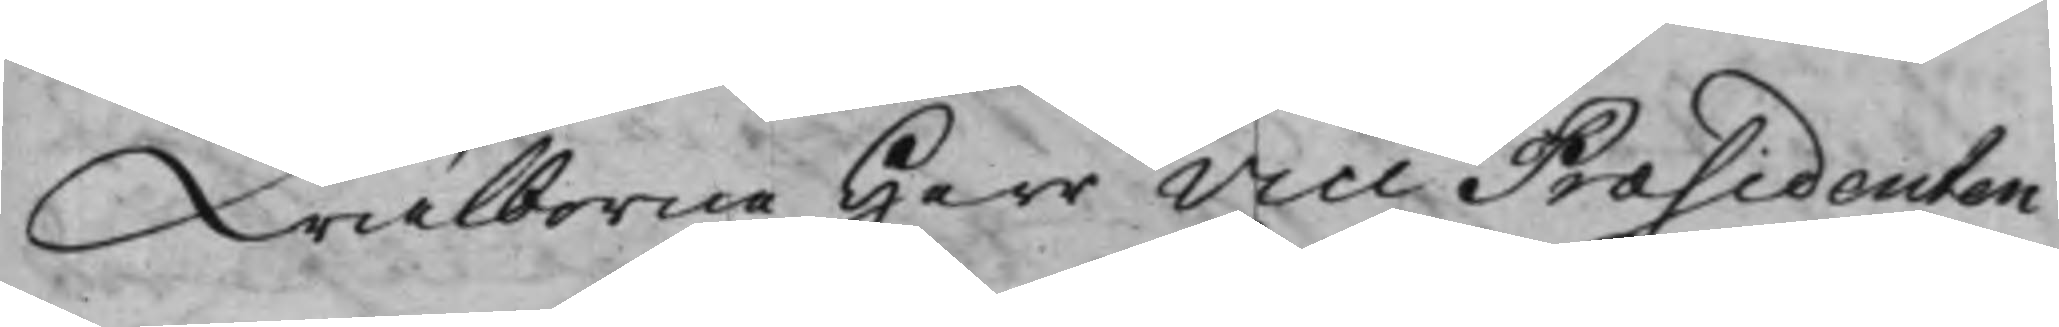Wälborne Herr Vice Præsidenten
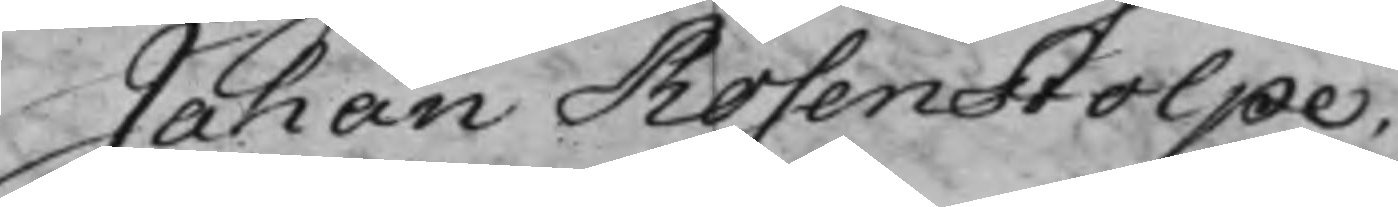Johan Rosenstolpe.
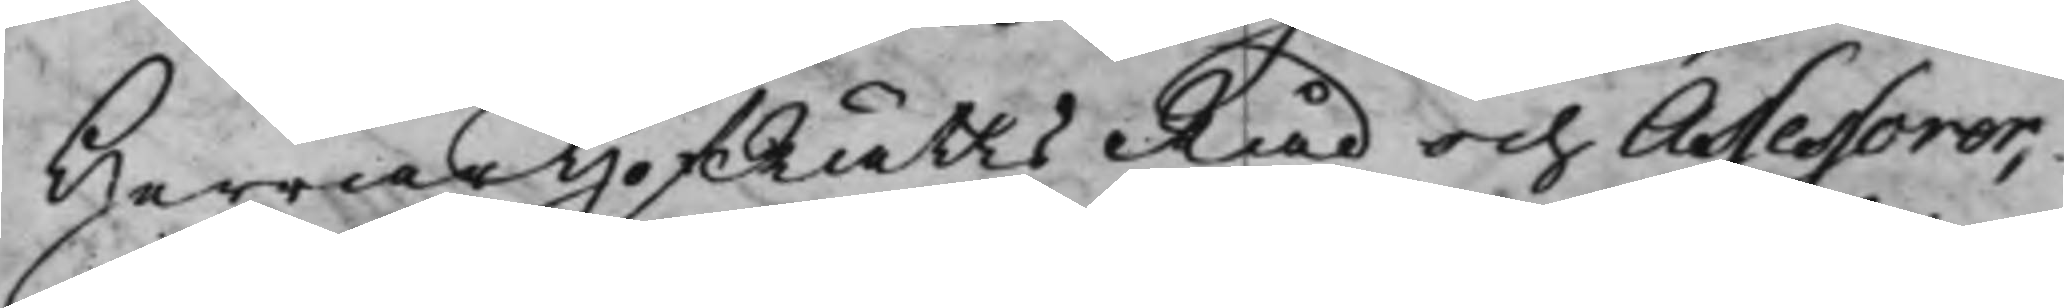Herrar HofRätts Råd och Assessorer,
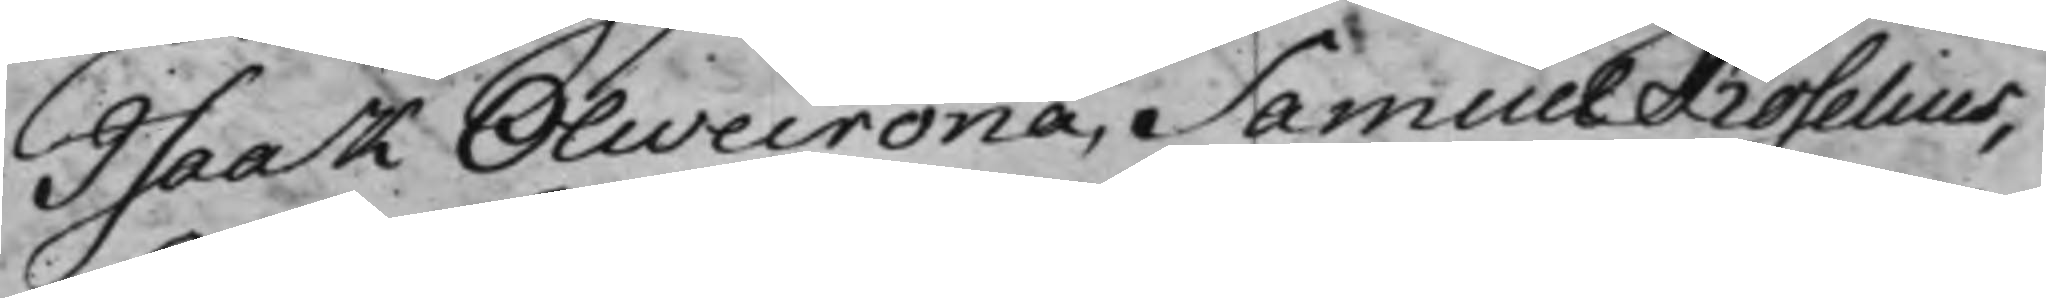Isaak Olivecrona, Samuel Roselius,
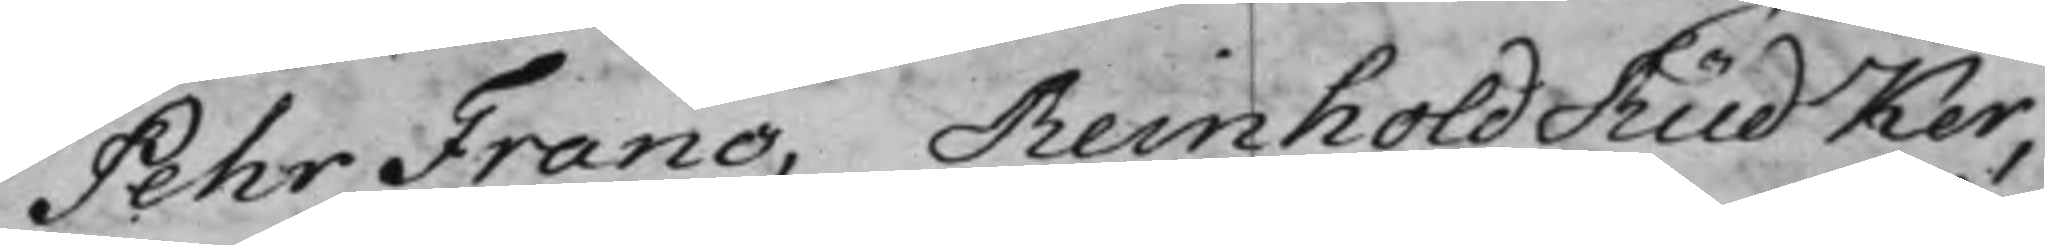Pehr Franc, Reinhold Rüdker,
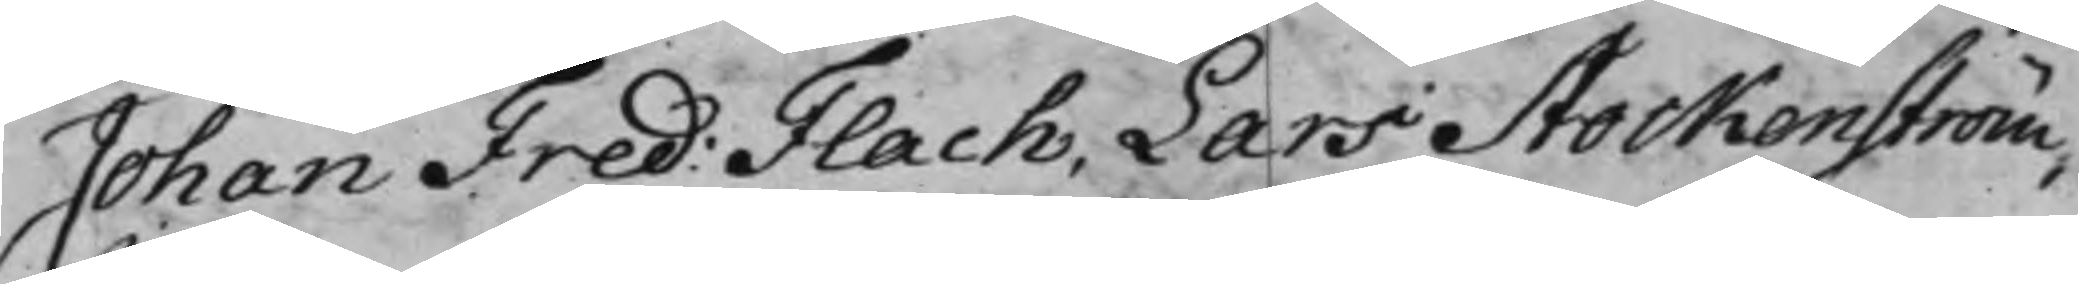Johan Fred: Flach, Lars Stockenström,
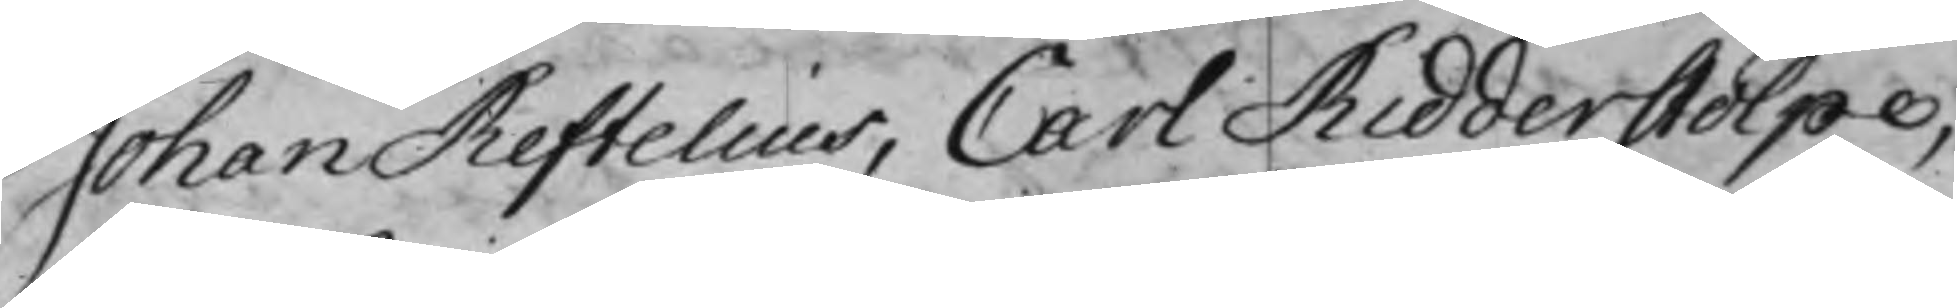Johan Reftelius, Carl Ridderstolpe,
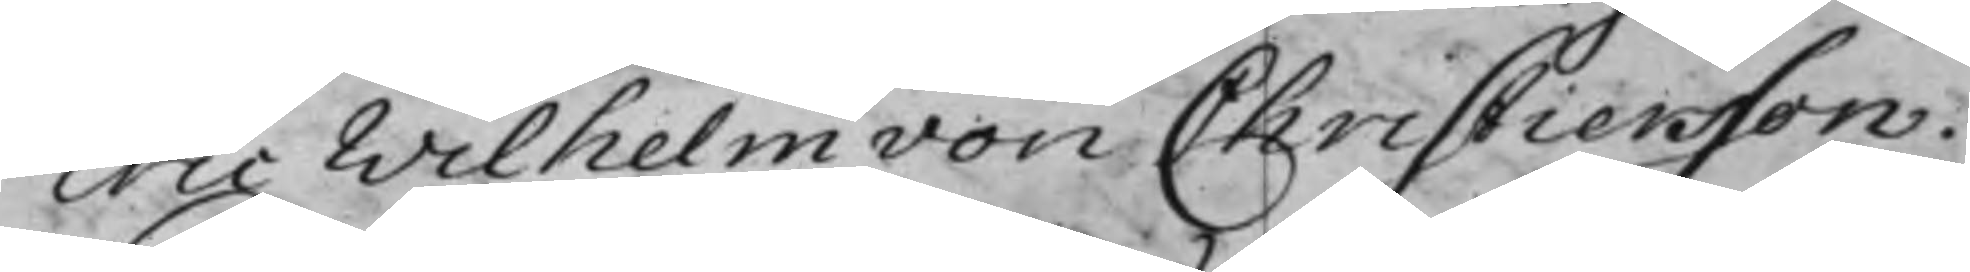Eric Wilhelm von Christiersson.
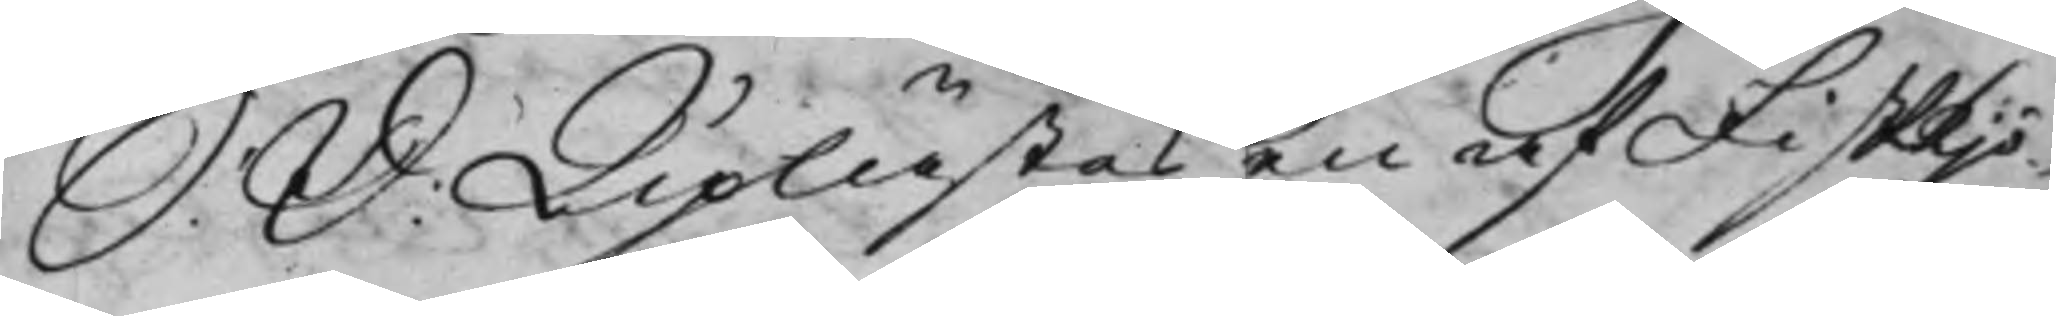S: D: Uplästes en af Fiskkjö¬
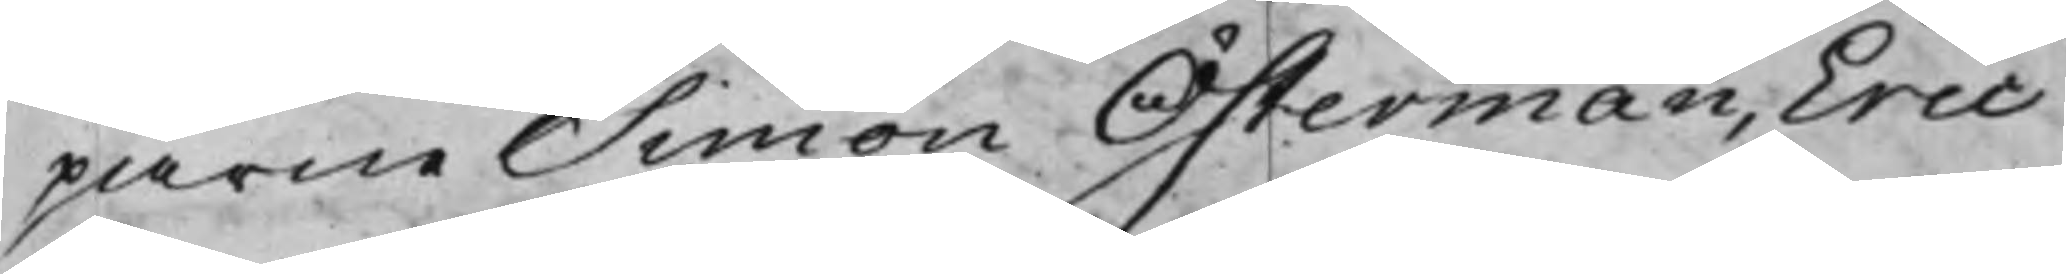parne Simon Österman, Eric
